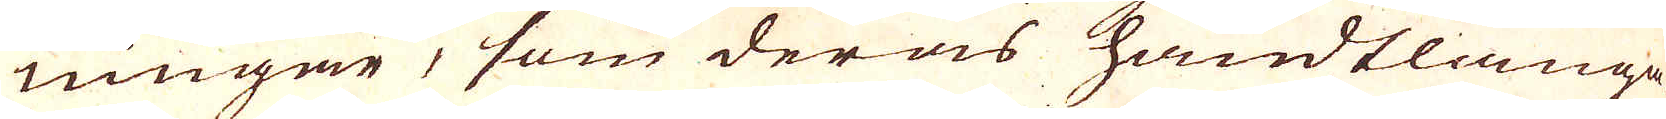ningar, som deras hundtlanga-
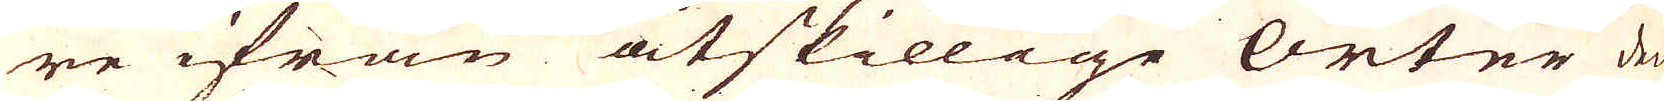re ifrån åtskillige Orter den
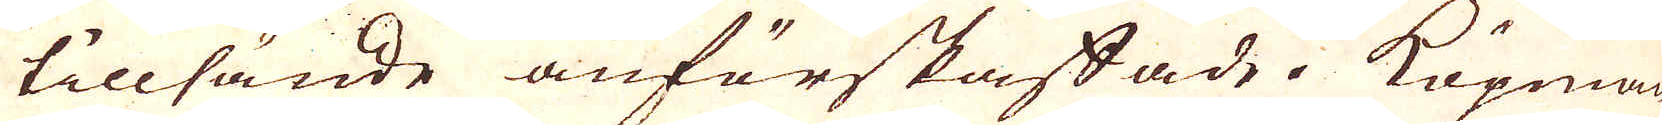tillsände anförskaffade. Köpman
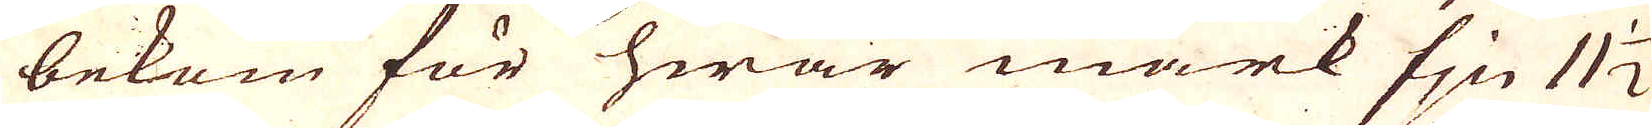bekom för hwar mark fjn 11 1/2
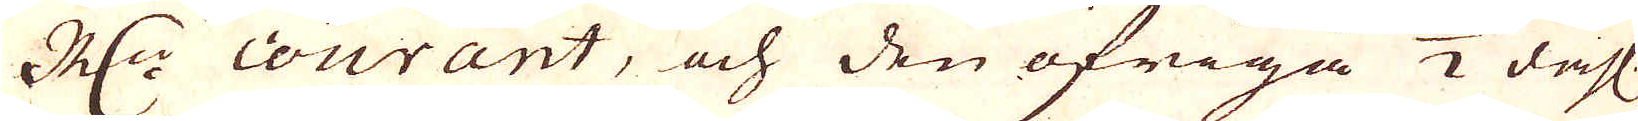R:dr courant, och den öfriga 1/2 dahl.
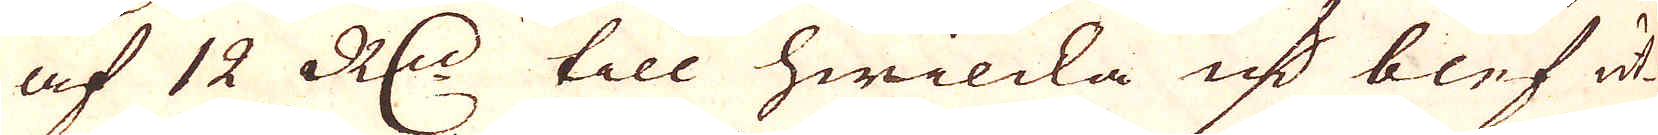af 12 R:dr till hwilcka qv:r blef ut-
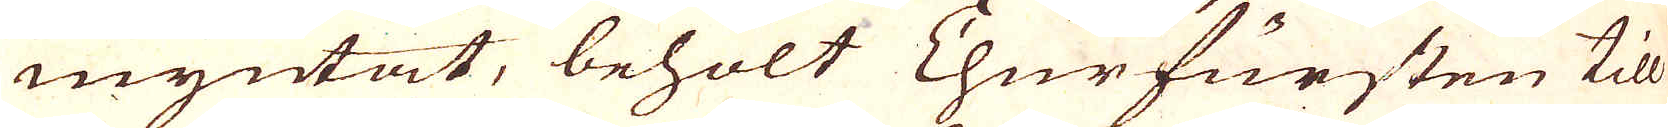myntat, behölt Churfursten till
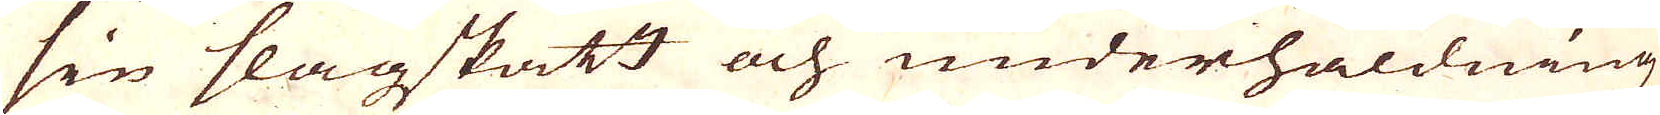sin slagskatt och underhåldning
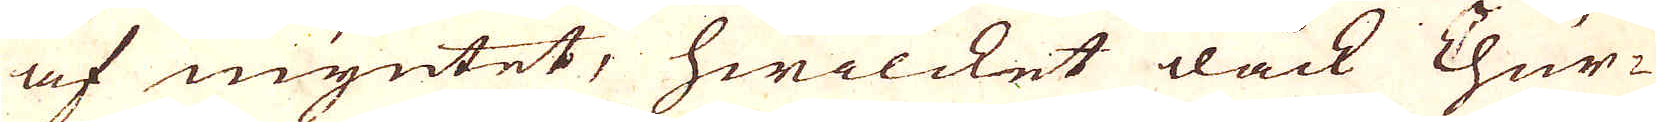af myntet, hwilcket dåck Chur-
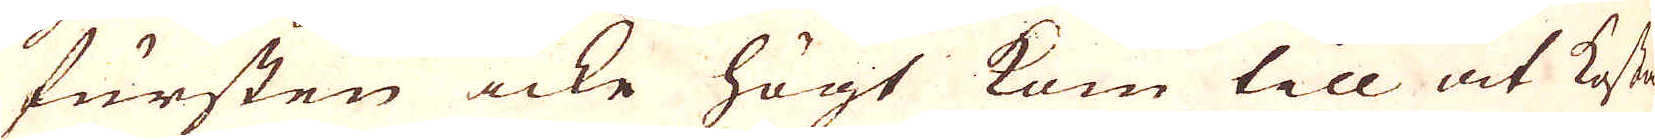fursten icke högt kom till at kosta
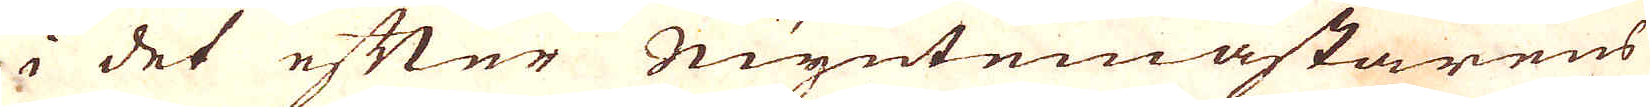i det efter Myntemästarens
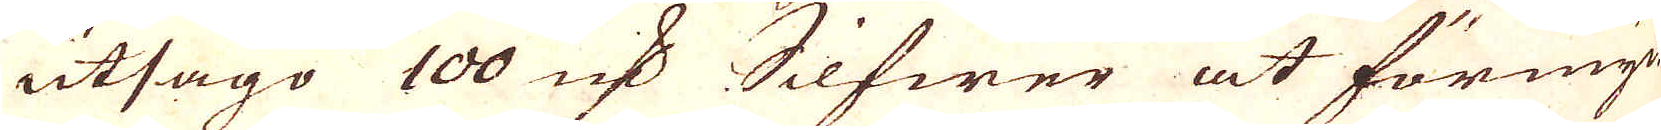utsago 100 qv:r Silfwer at förmyn-
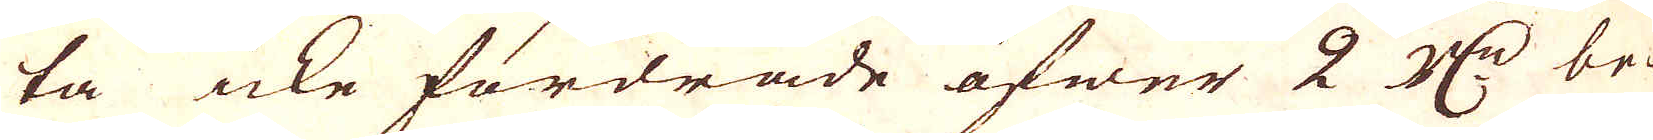ta icke fordrade öfwer 2 R:r be-
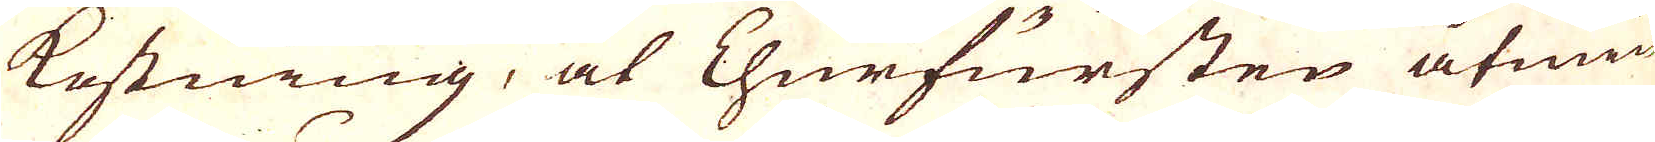kostning, at Churfursten åtmin-
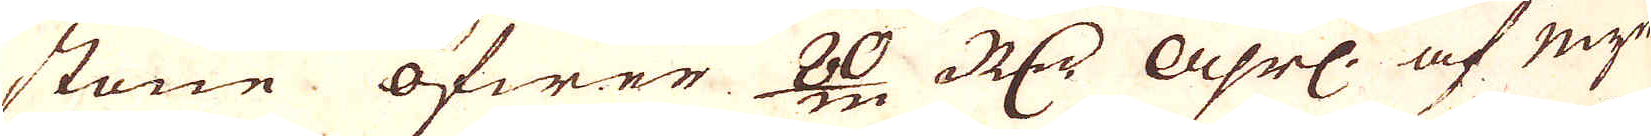stone öfwer 80/m R:dr Åhrl: af myn-
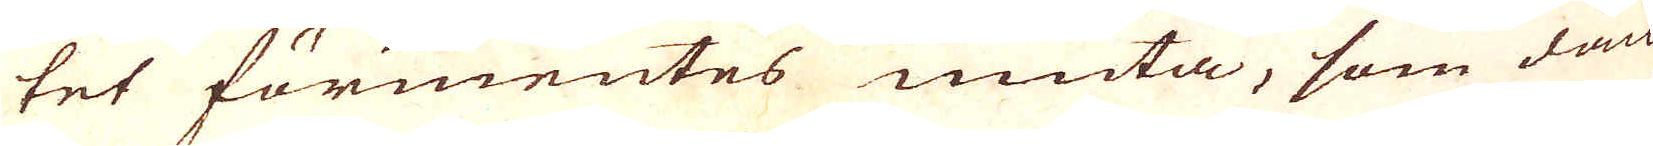tet förmentes niuta, som dåck
